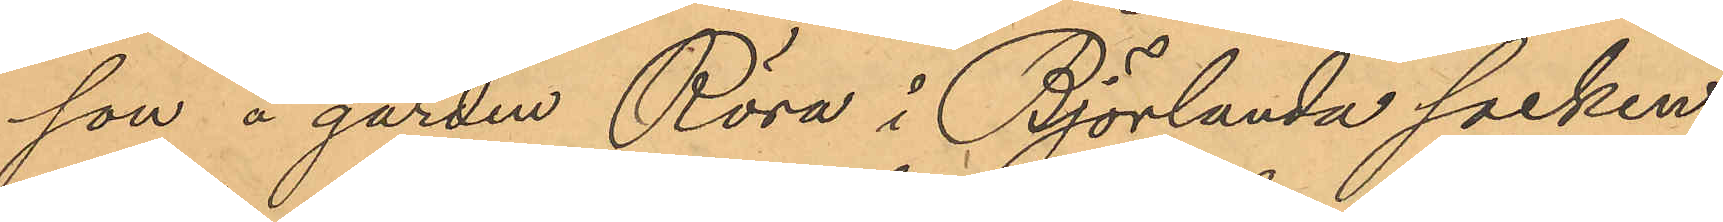son å gården Röra i Björlanda socken;
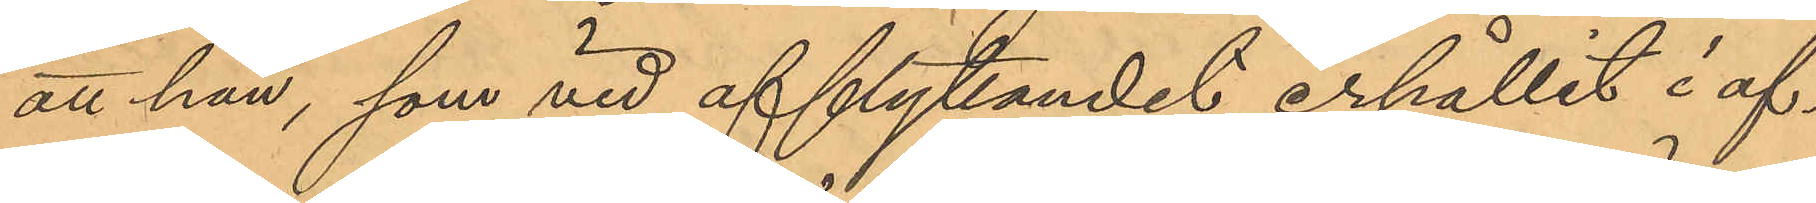att han, som vid afflyttandet erhållit i af¬
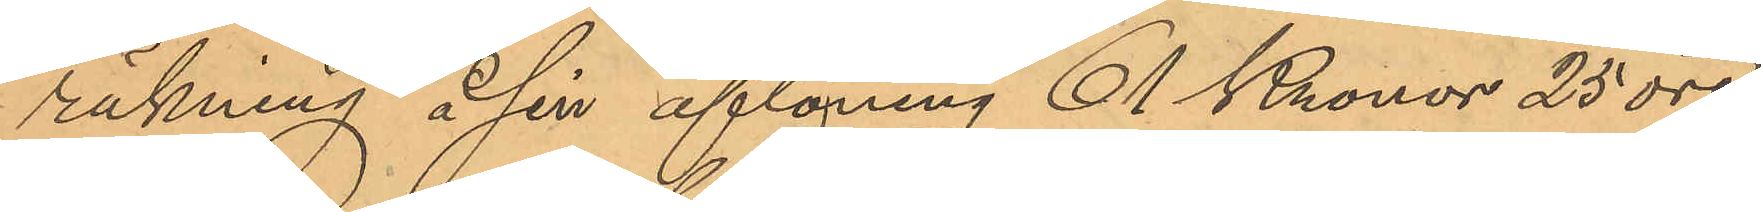räkning å sin aflöning 61 Kronor 25 öre,
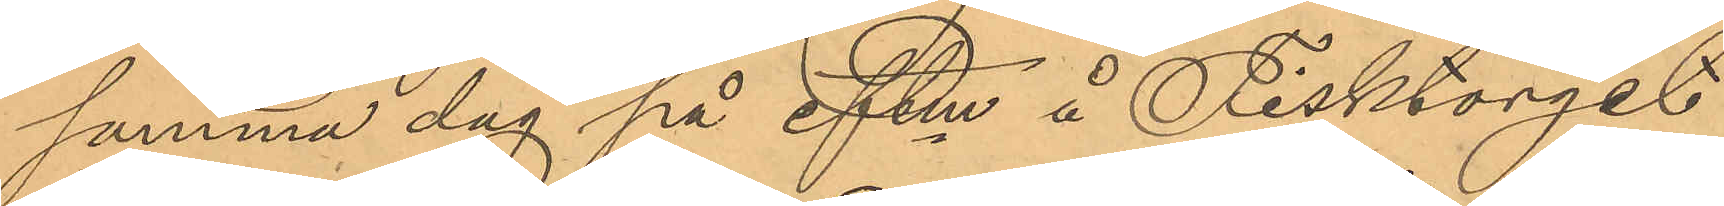samma dag på eftm å Fisktorget
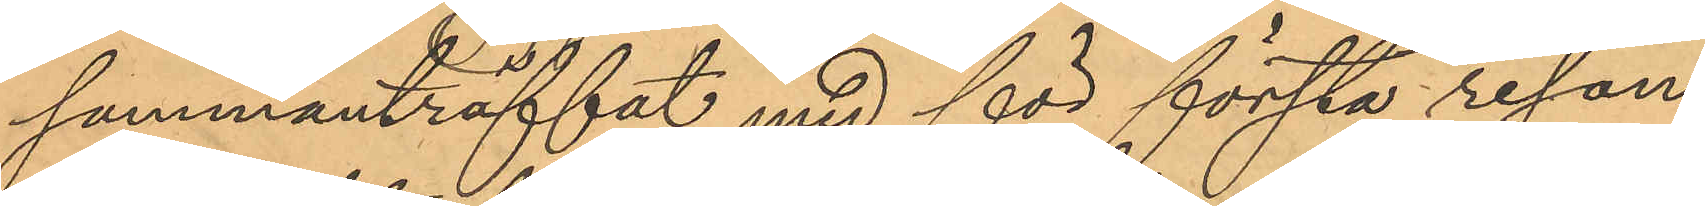sammanträffat med för första resan
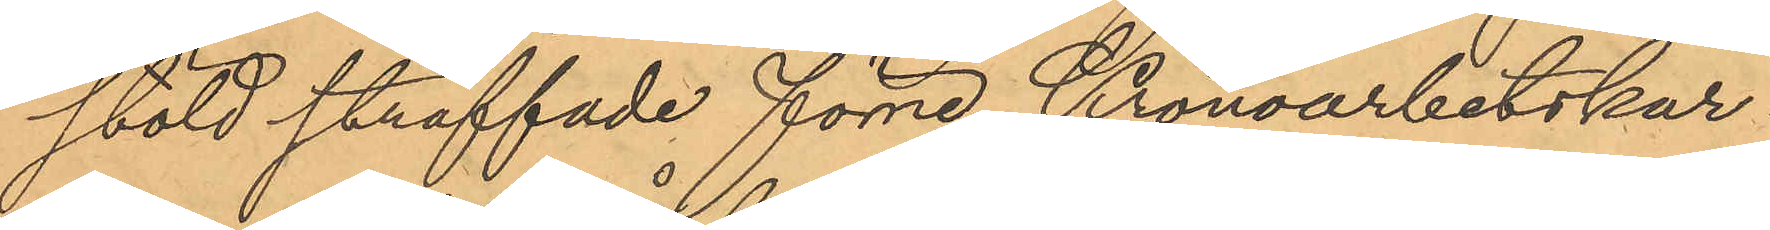stöld straffade förre Kronoarbetskar¬
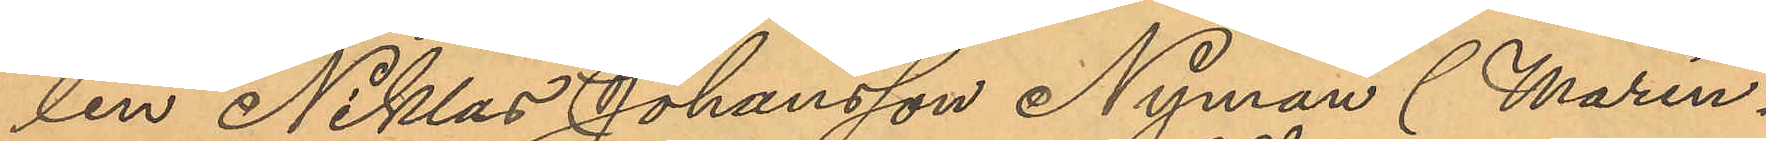len Niklas Johansson Nyman (Marin¬
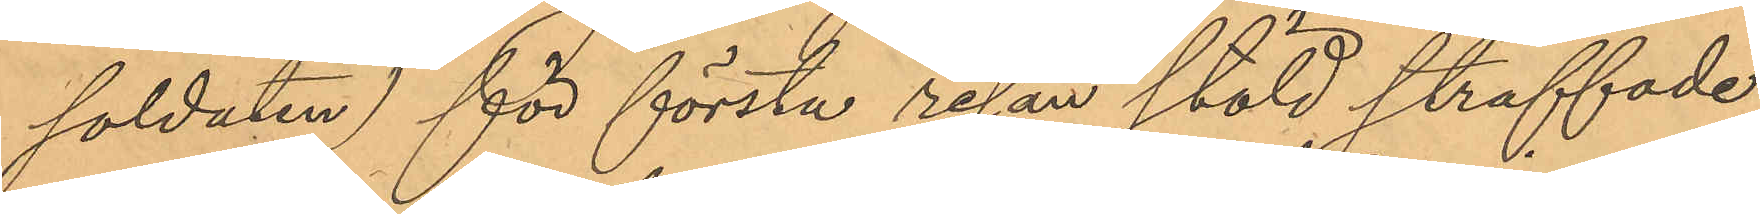soldaten) för första resan stöld straffade
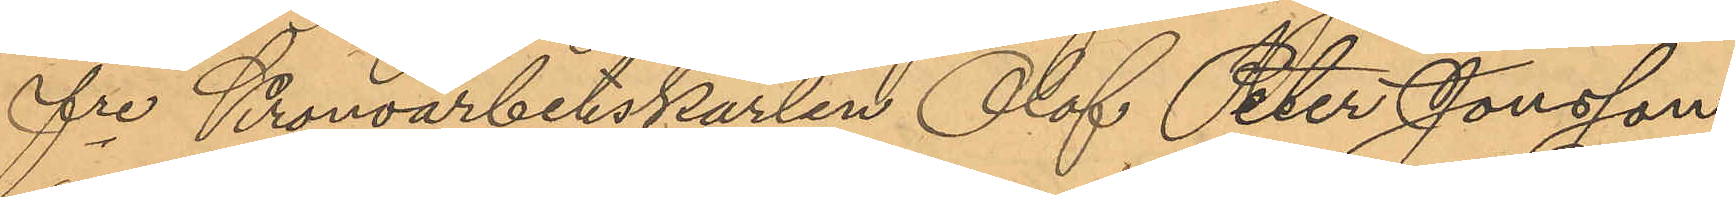fre Kronoarbetskarlen Olof Peter Jonsson
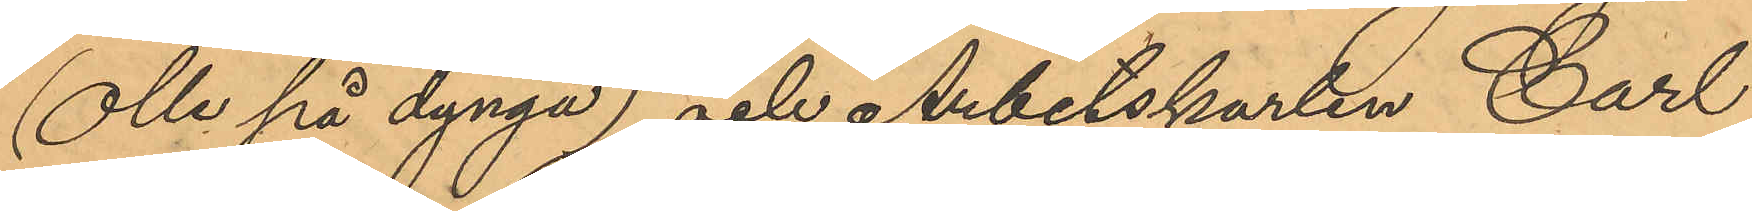(Olle på dynga) och Arbetskarlen Carl
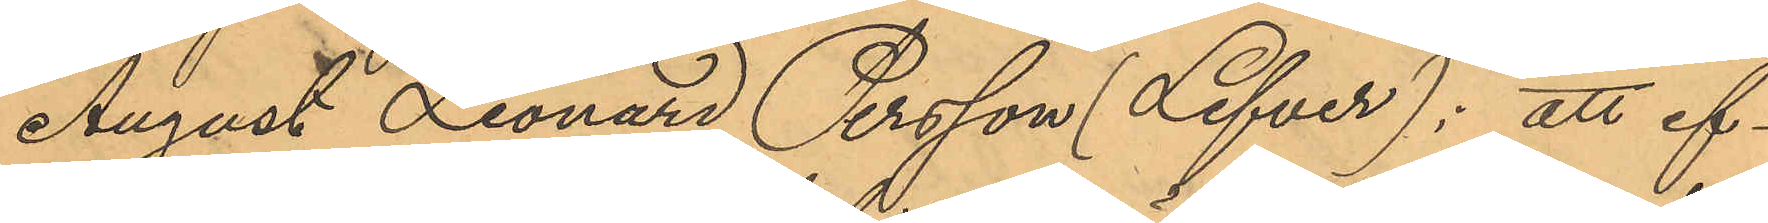August Leonard Persson (Lefver): att ef¬
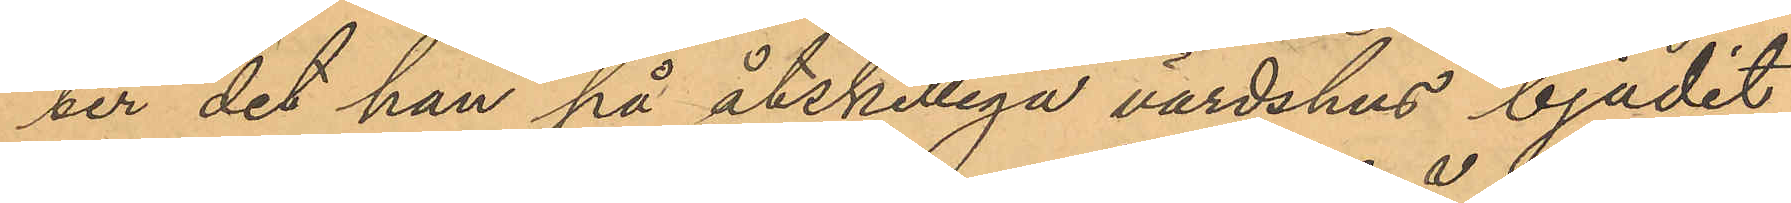ter det han på åtskilliga värdshus bjudit
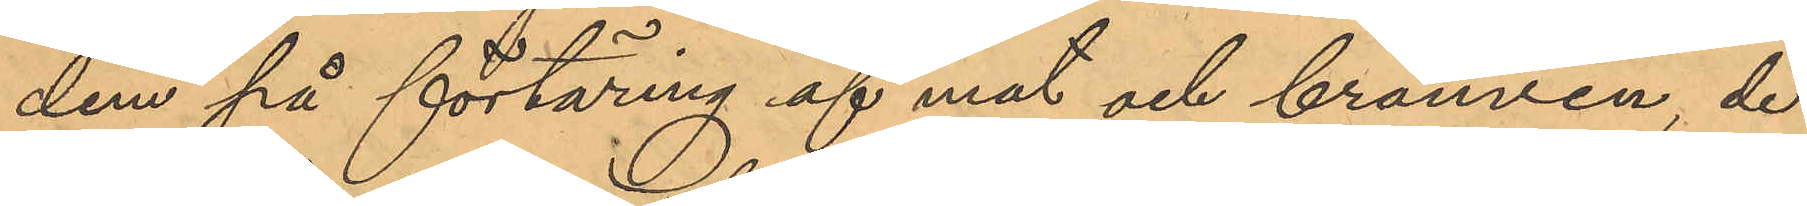dem på förtäring af mat och brännvin, de
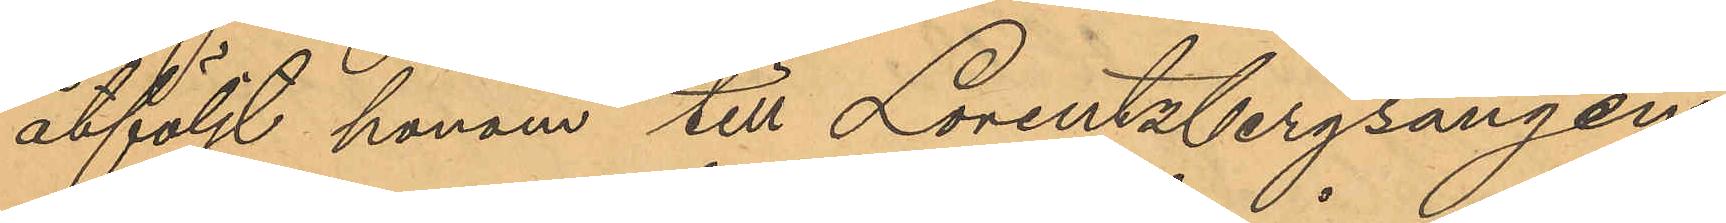åtföljt honom till Lorentzbergsängen,
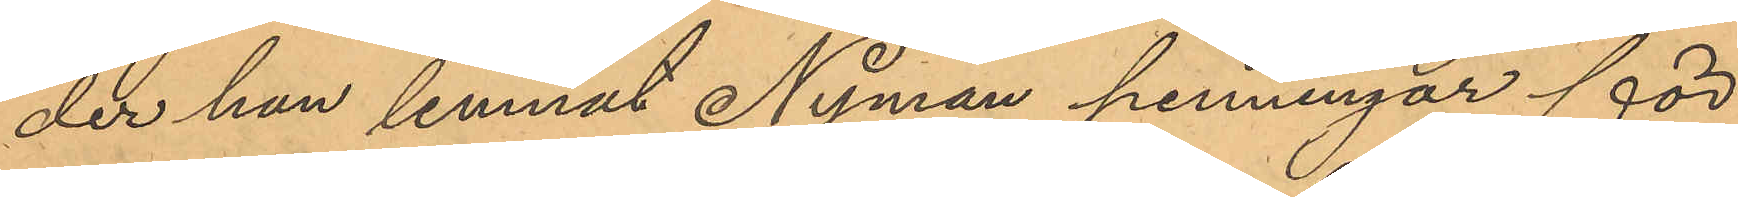der han lemnat Nyman penningar för
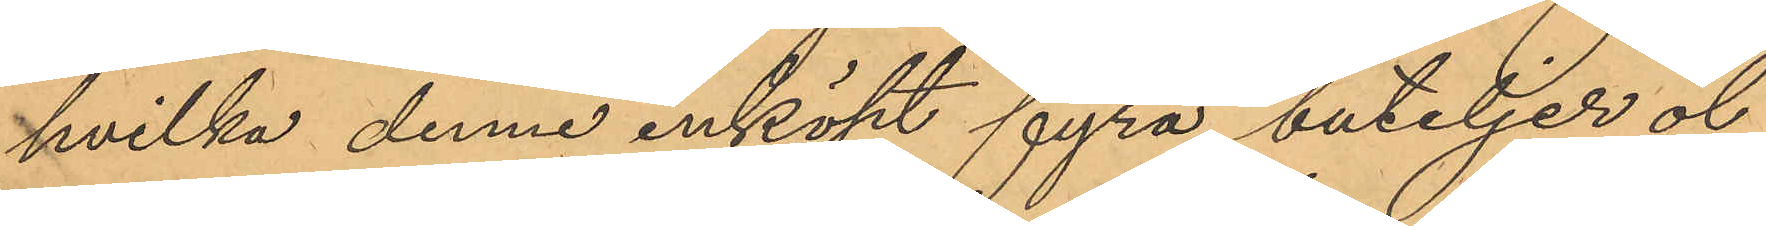hvilka denne inköpt fyra buteljer öl,
